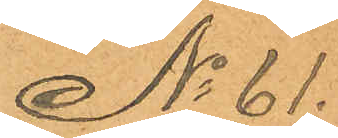No 61.
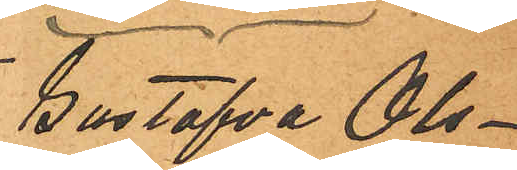Gustafva Ols¬
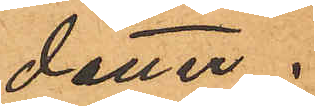dotter.
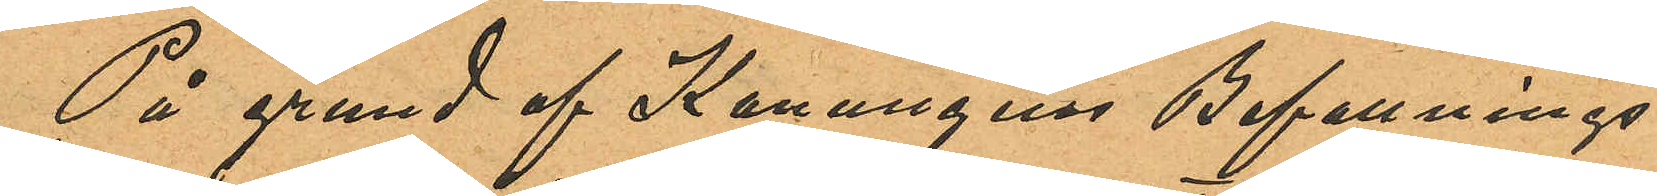På grund af Konungens Befallnings¬
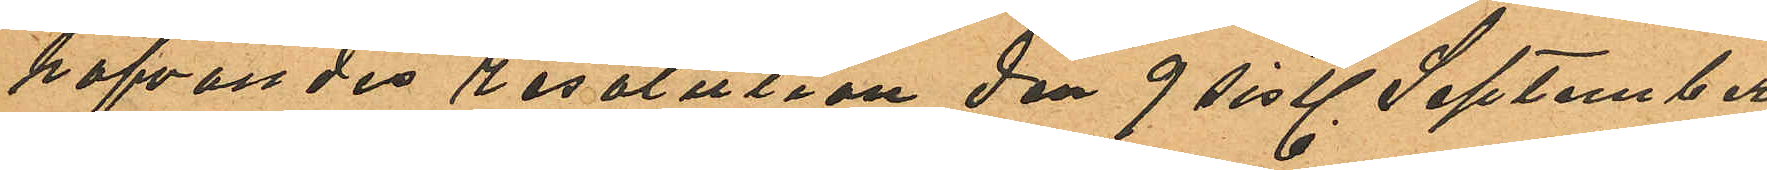hafvandes resolution den 9 sistl. September
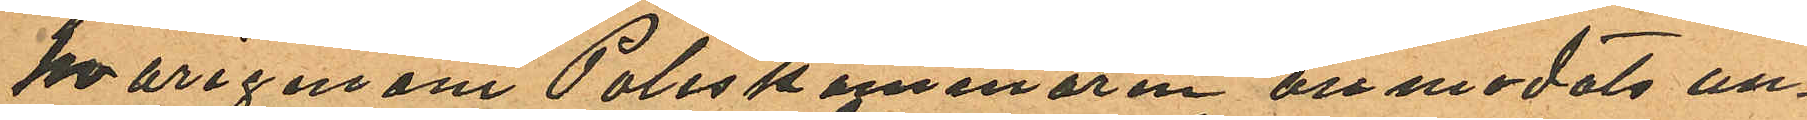hvarigenom Poliskammaren antmodats un¬
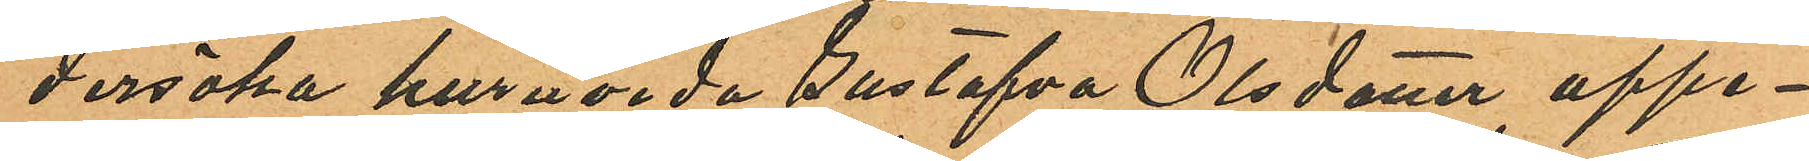dersöka huruvida Gustafva Olsdotter uppe¬
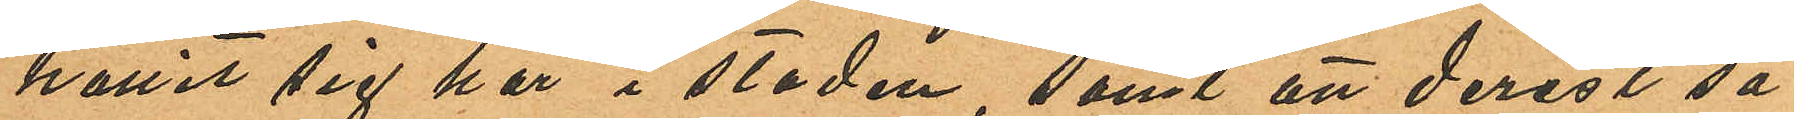hållit sig här i staden, samt att derest så
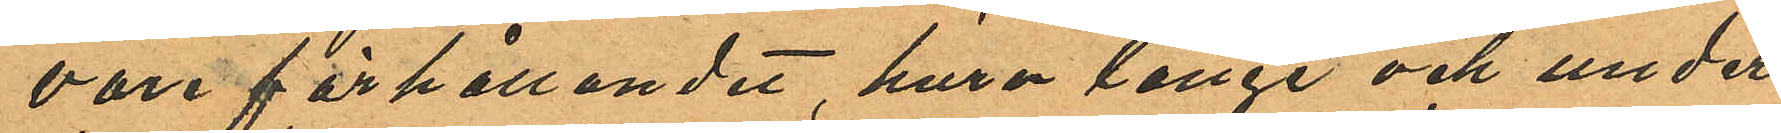vore förhållandet, huru länge och under
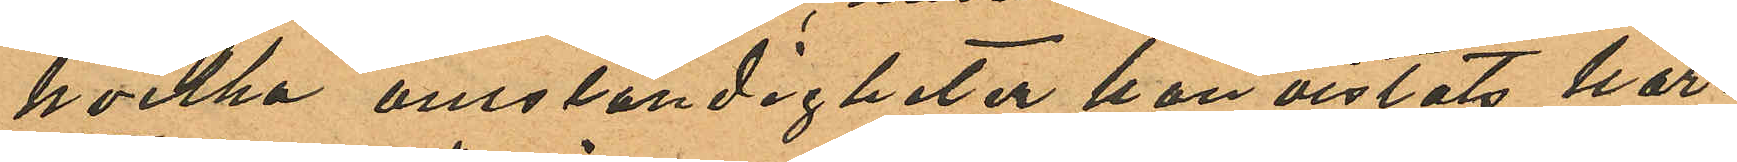hvilka omständigheter hon vistats här¬
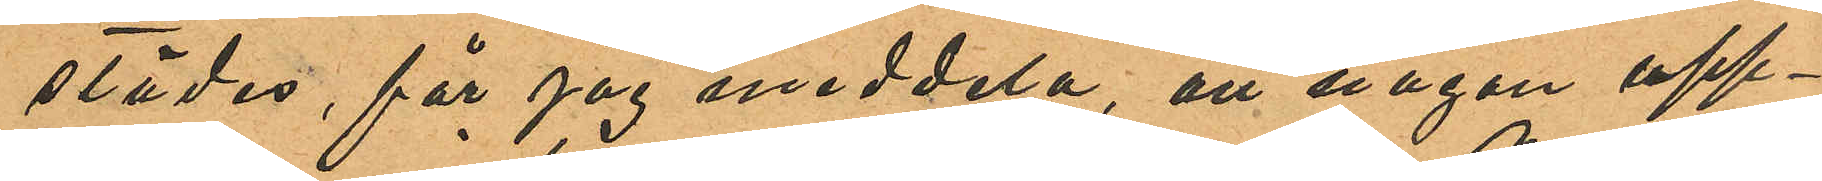städes, får jag meddela, att någon upp¬
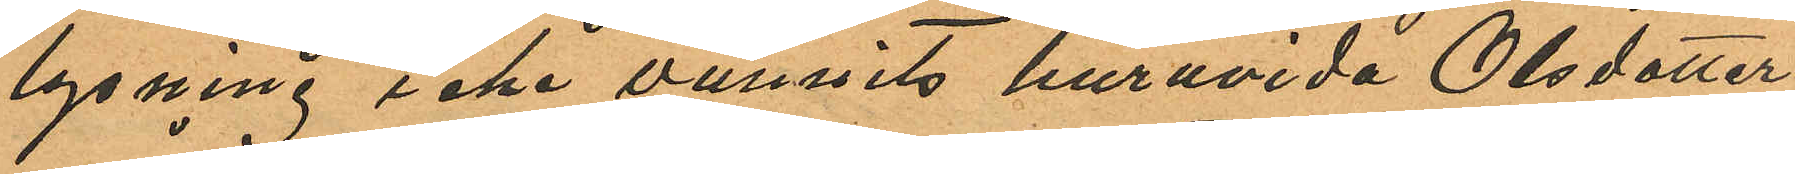lysning icke vunnits huruvida Olsdotter
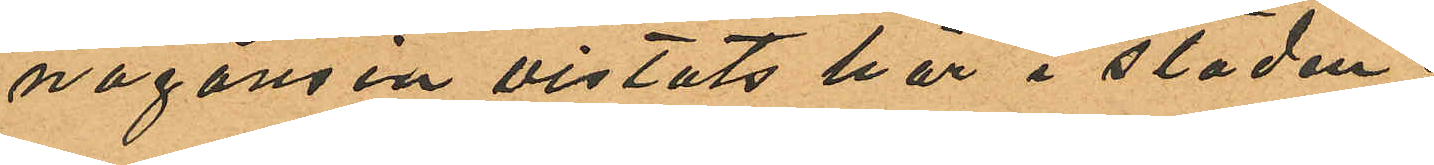någonsin vistats här i staden.
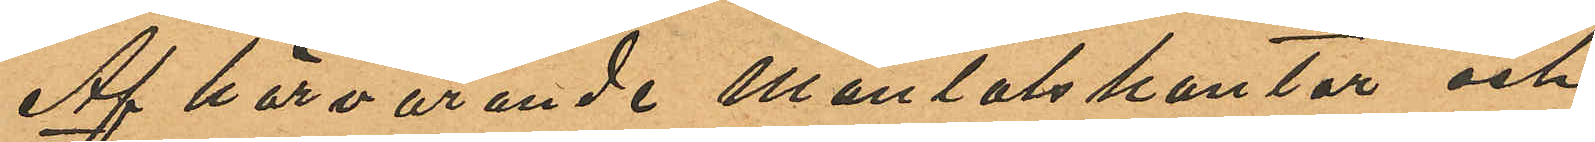Af här varande Mantalskontor och
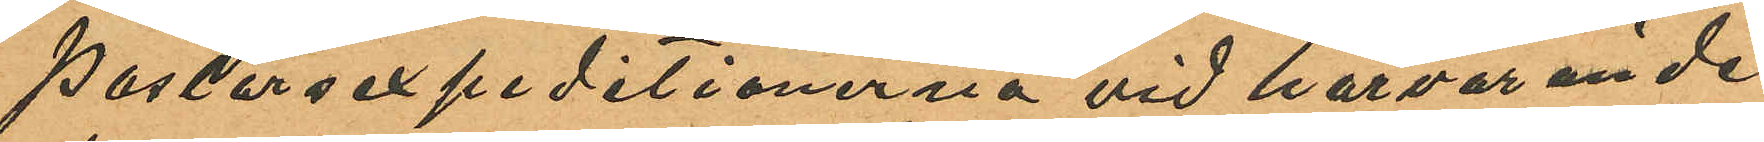Pastorsexpeditonerna vid härvarande
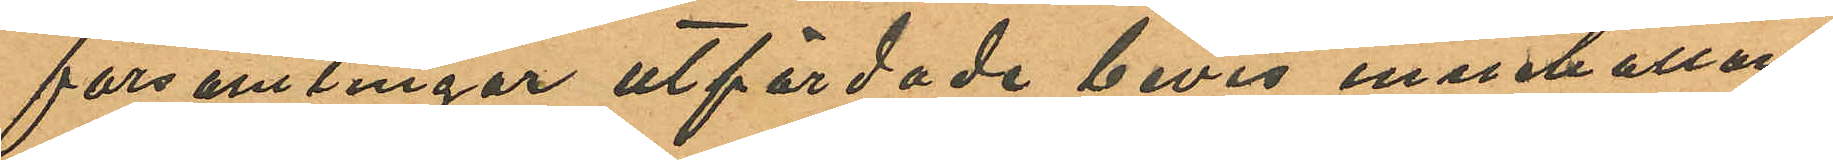församlingar utfärdade bevis innehållan¬
